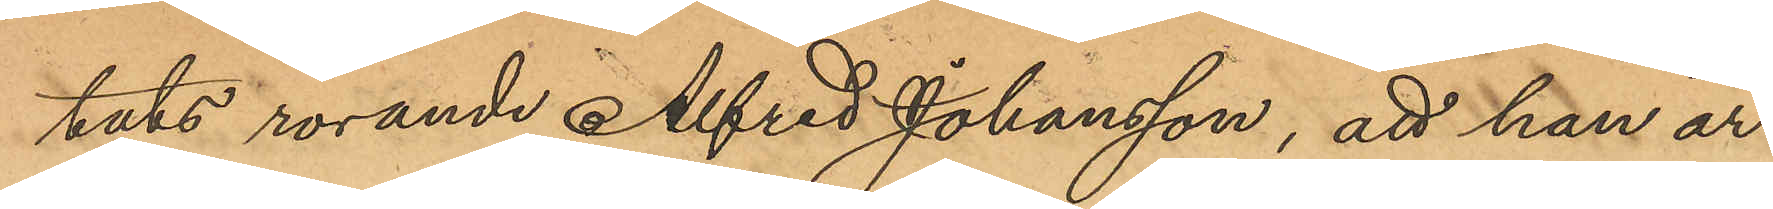tats rörande Alfred Johansson, att han är
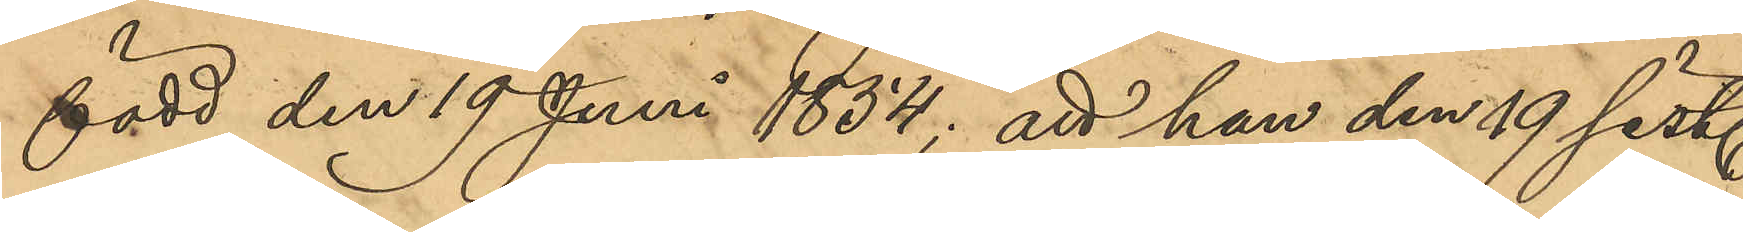född den 19 Juni 1854; att han den 19 sist.
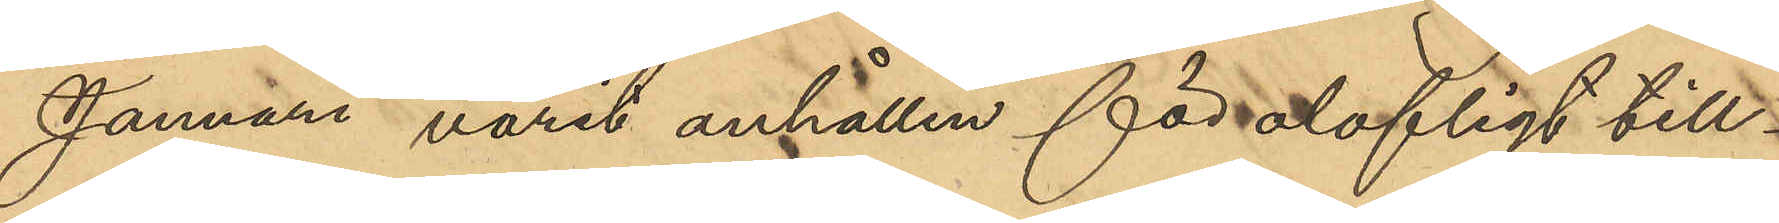Januari varit anhållen för olofligt till¬
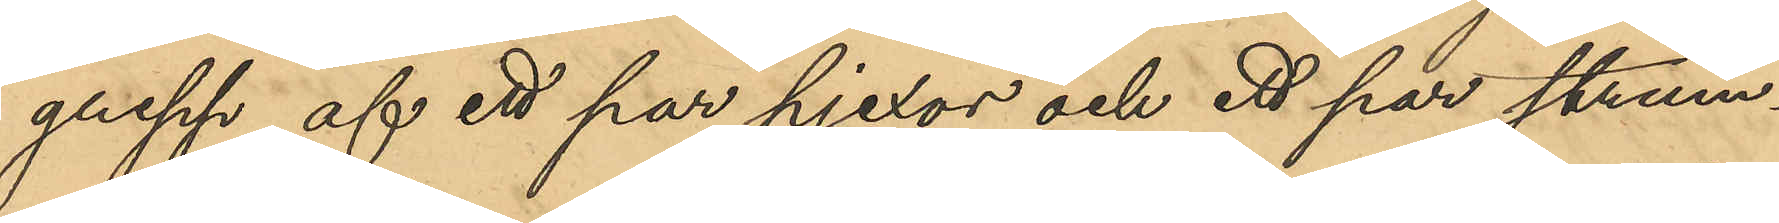grepp af ett par pjexor och ett par strum¬
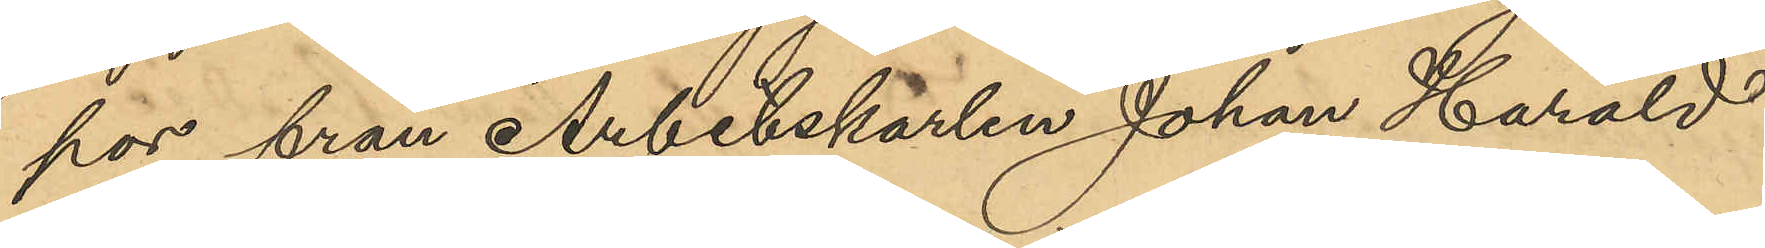por från Arbetskarlen Johan Harald
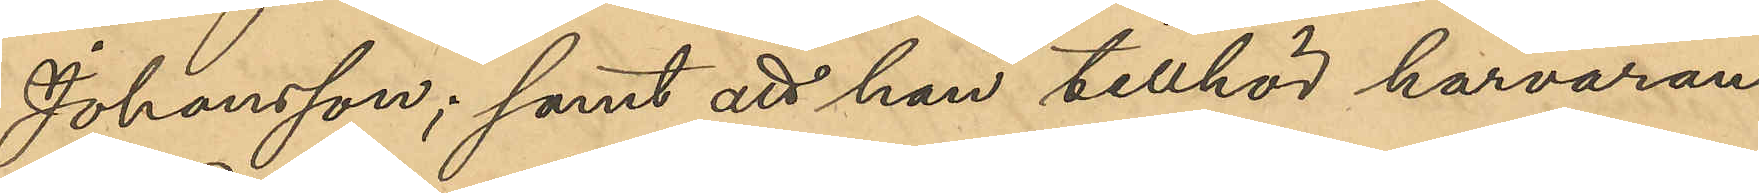Johansson; samt att han tillhör härvaran¬
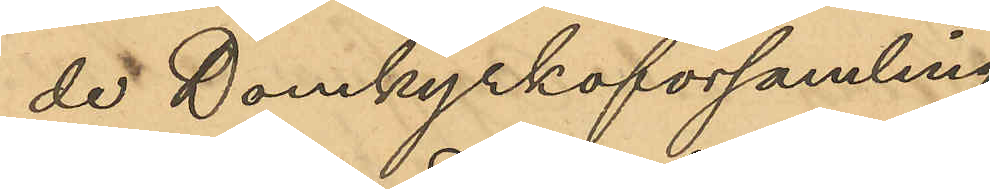de Domkyrkoförsamling.
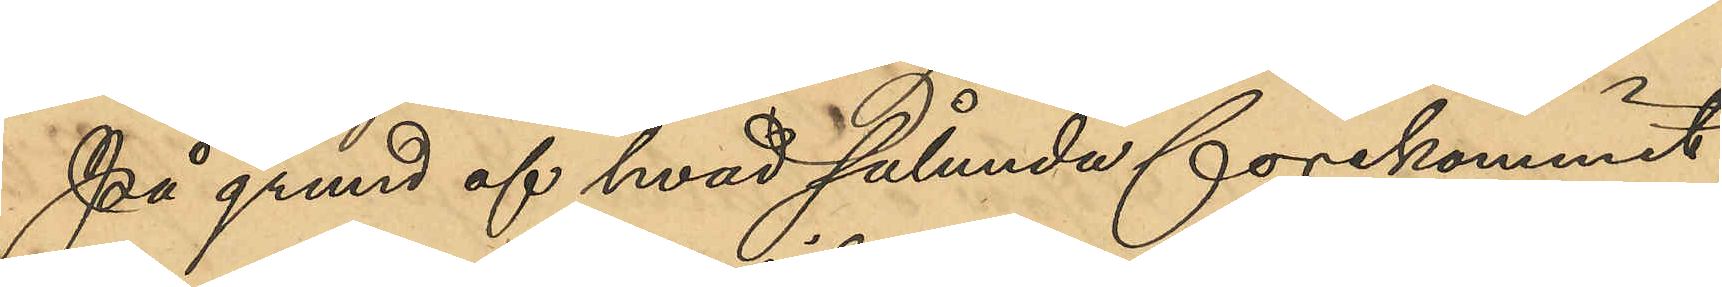På grund af hvad sålunda förekommit
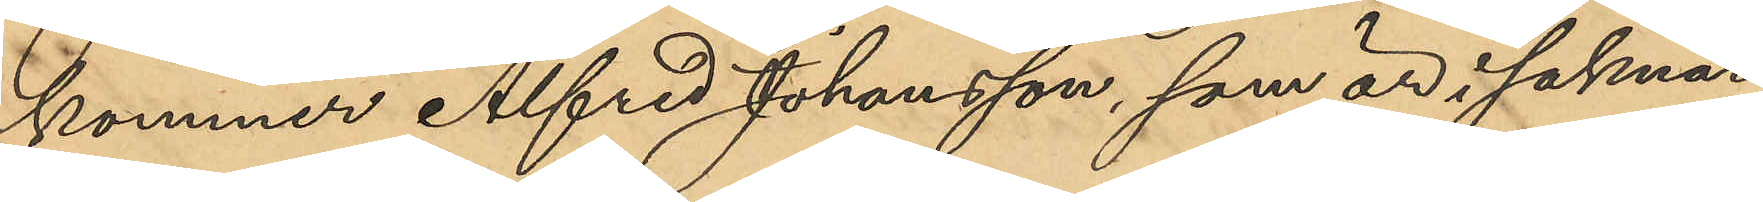kommer Alfred Johansson som är i saknad
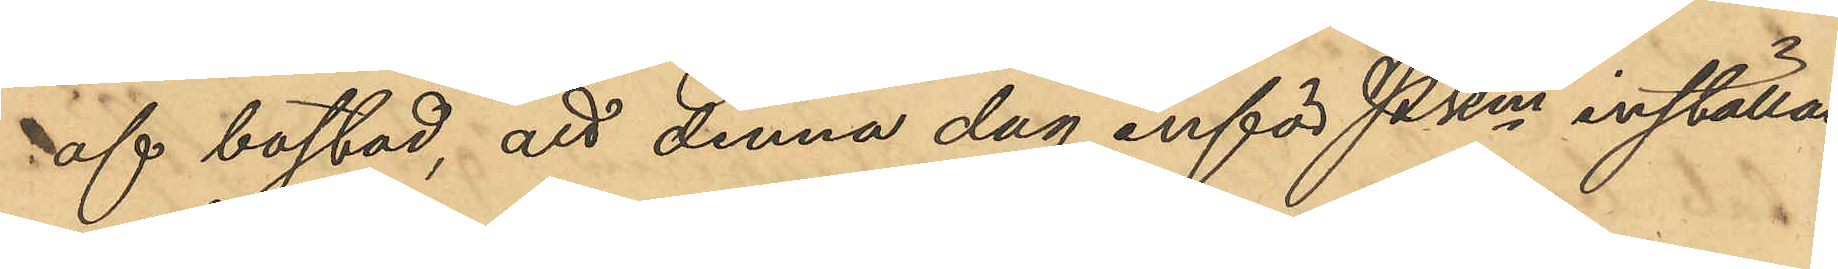af bostad, att denna dag inför Pkm inställas.
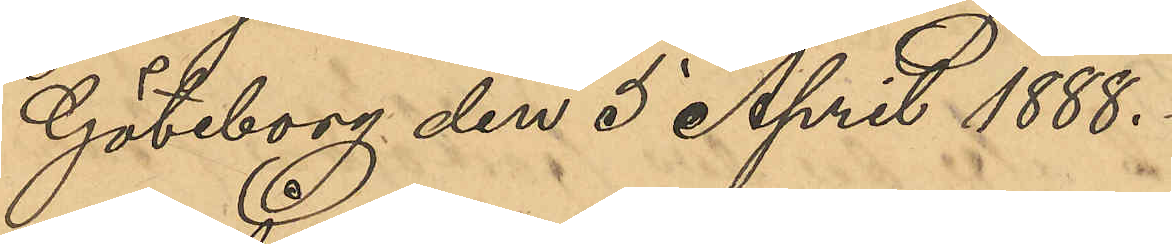Göteborg den 5 April 1888.
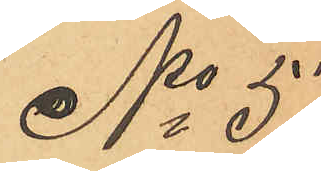No 57
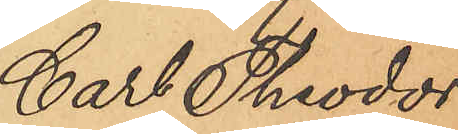Carl Theodor
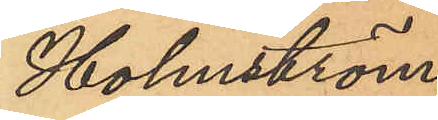Holmström.
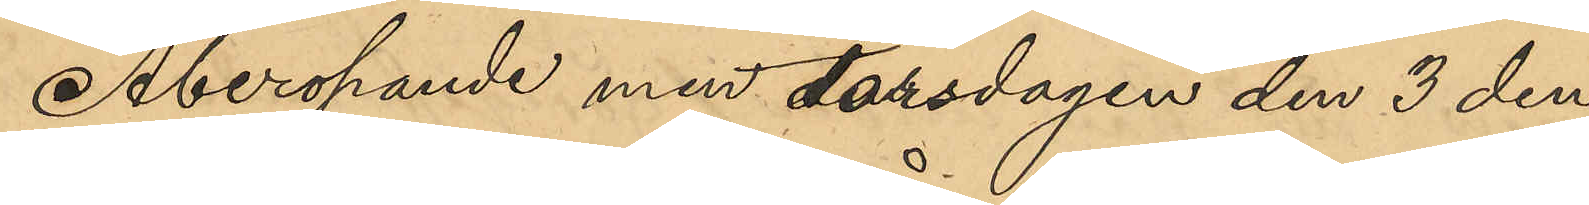Åberopande med torsdagen den 3 den¬
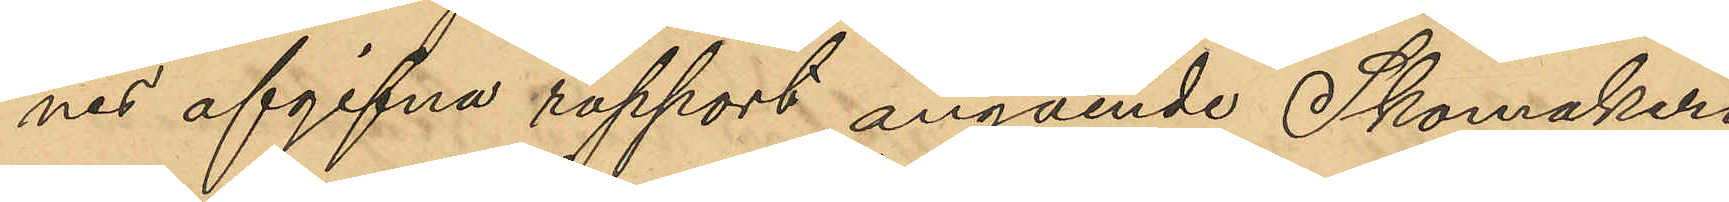nes afgifna rapport angående Skomakeri¬
